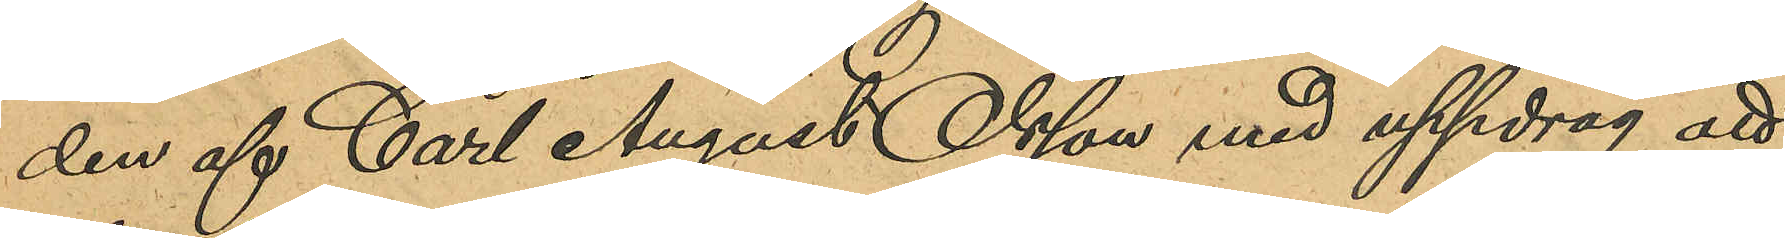den af Carl August Olsson med uppdrag att
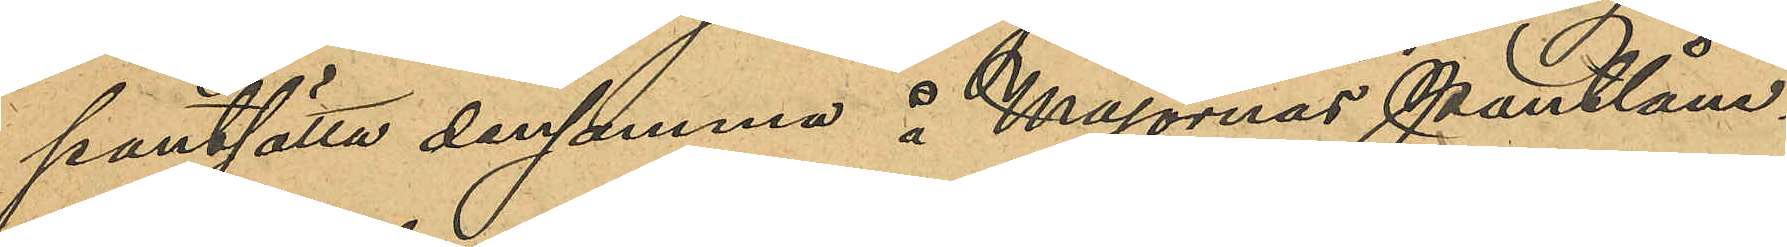pantsätta densamma å Majornas pantlåne¬
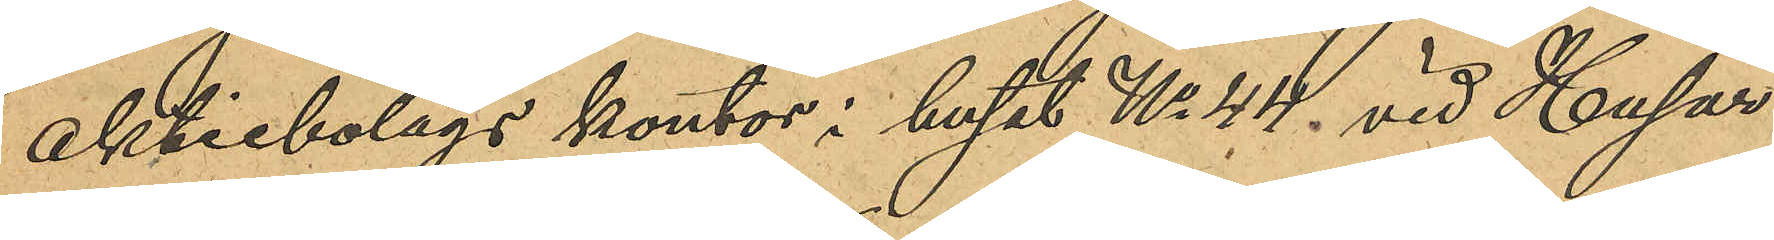aktiebolags kontor i huset No 44. vid Husar-
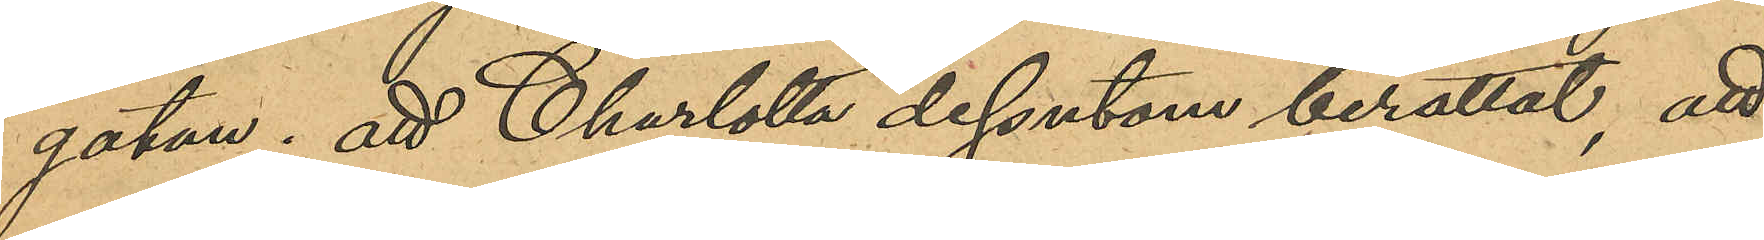gatan; att Charlotta dessutom berättat att
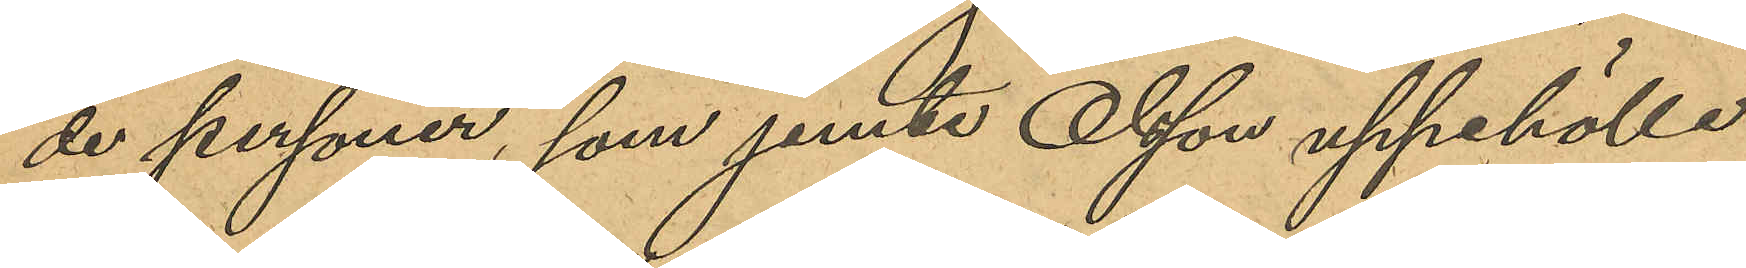de personer, som jemte Olsson uppehöllo
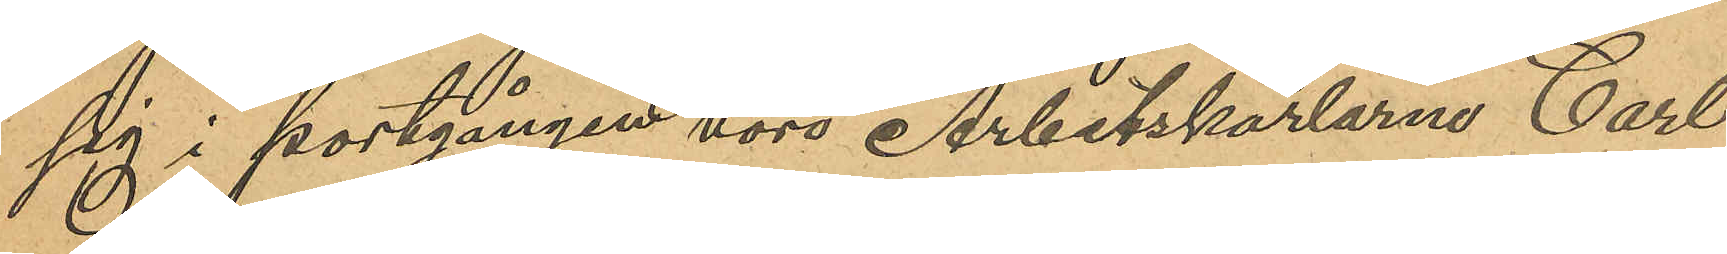sig i portgången voro Arbetskarlarna Carl
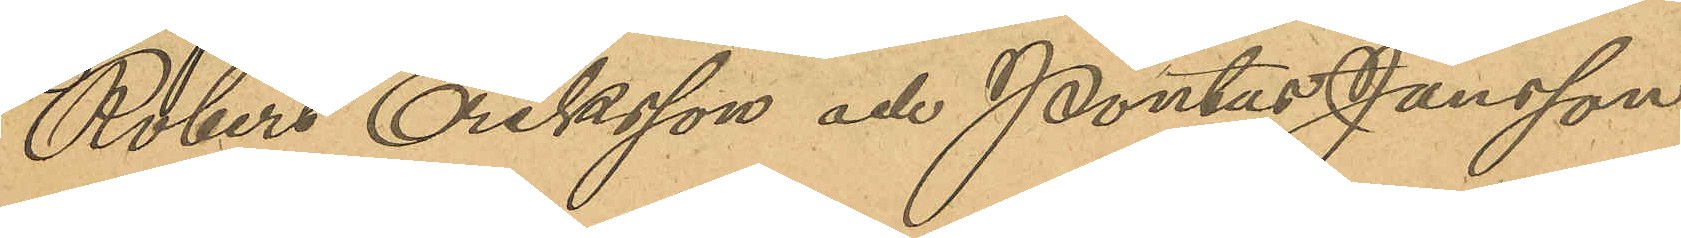Robert Eriksson och Pontus Jansson;
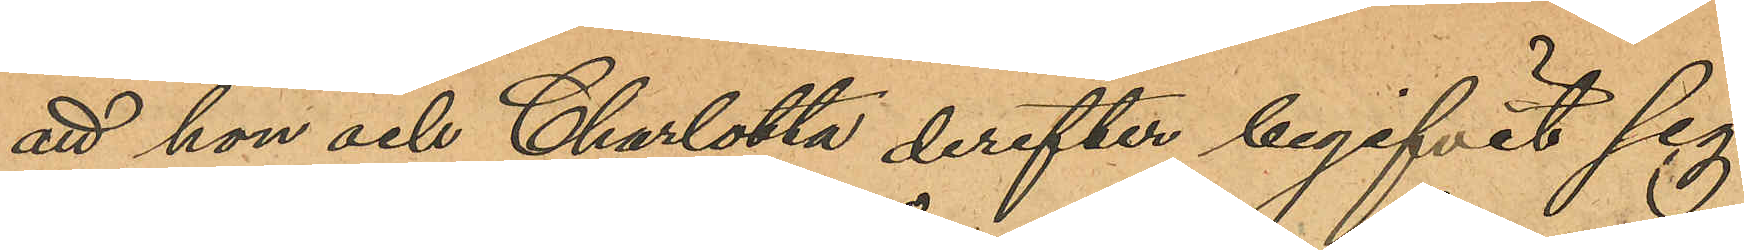att hon och Charlotta derefter begifvit sig
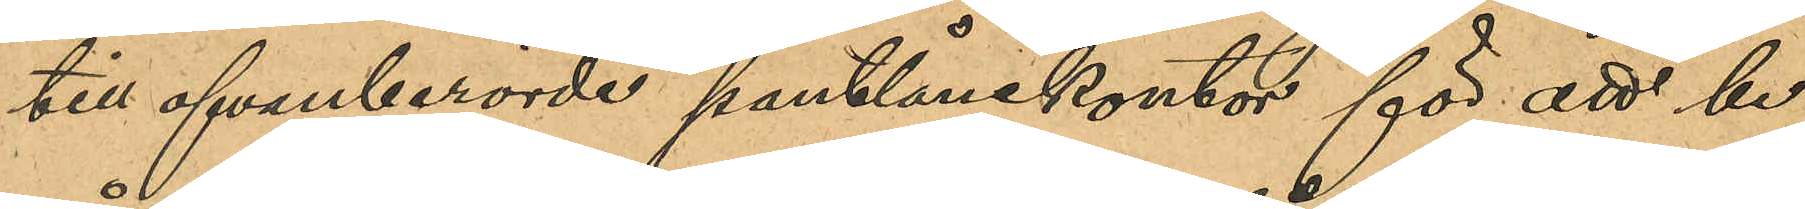till ofvanberörde pantlånekontor för att be¬
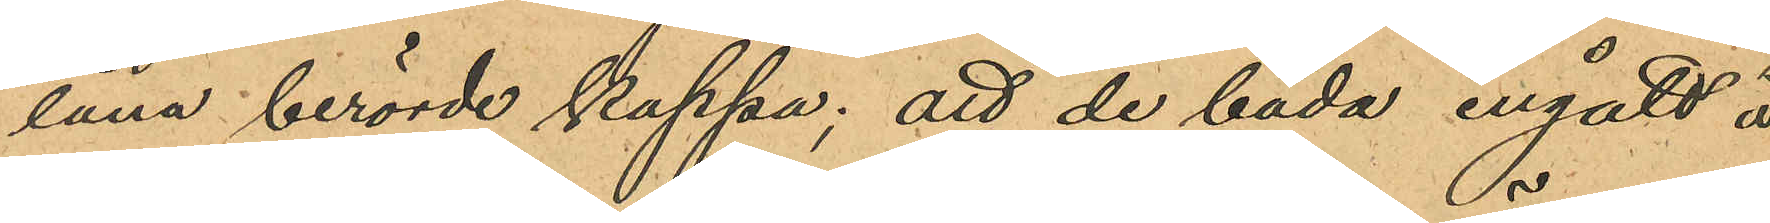låna berörde kappa; att de båda ingått å
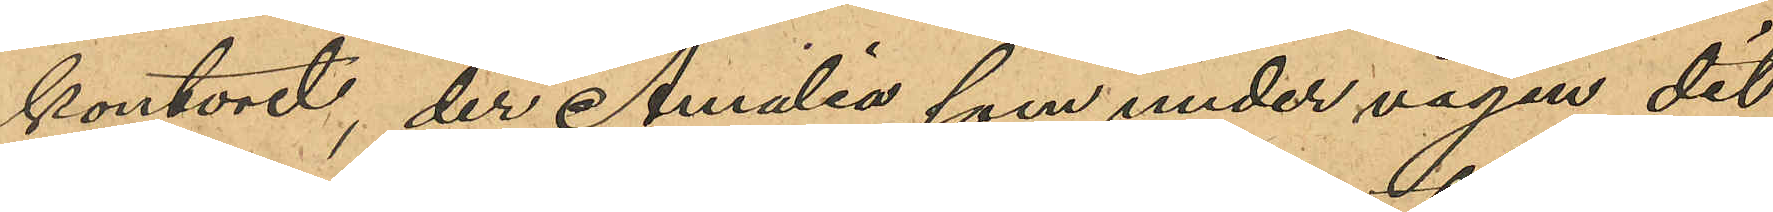kontoret der Amalia som under vägen dit
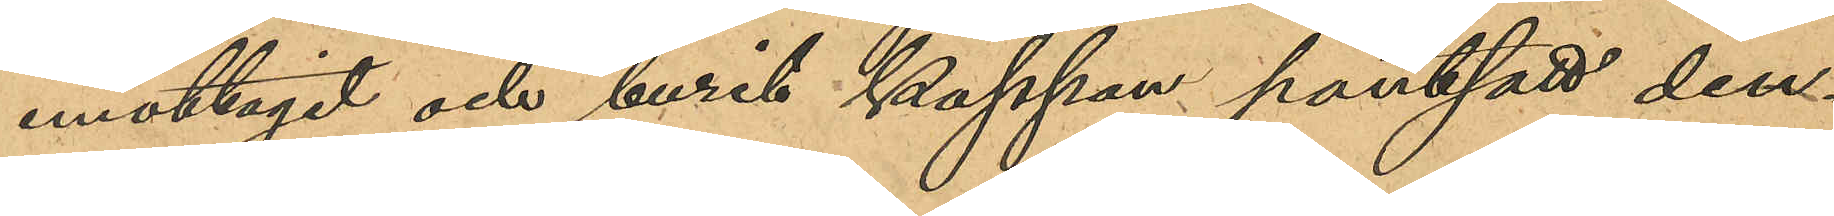emottagit och burit kappan pantsatt den¬
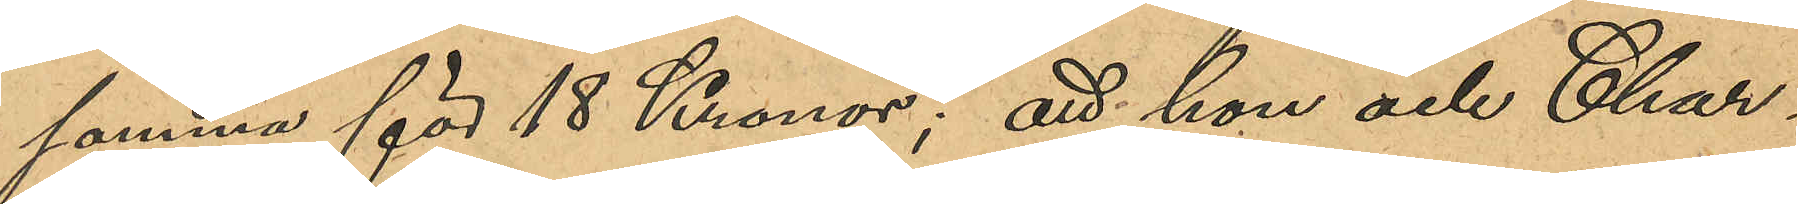samma för 18 Kronor; att hon och Char¬
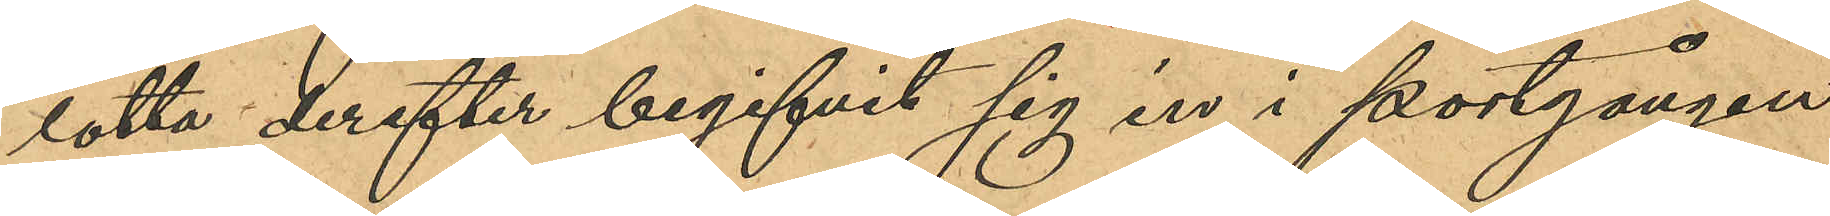lotta derefter begifvit sig in i portgången
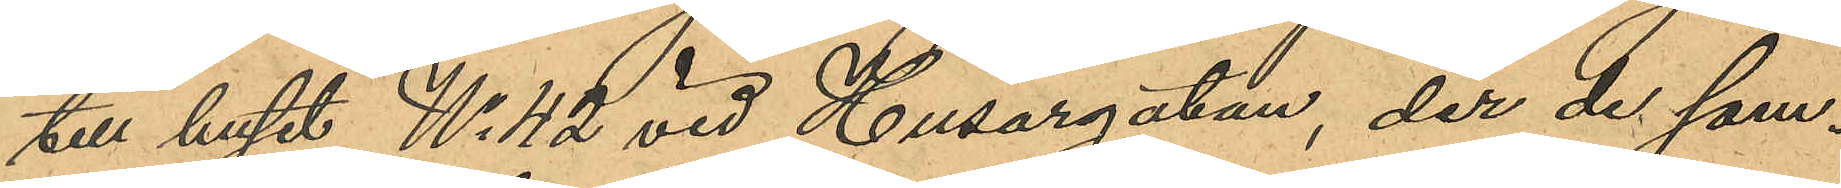till huset No 42 vid Husargatan der de sam¬
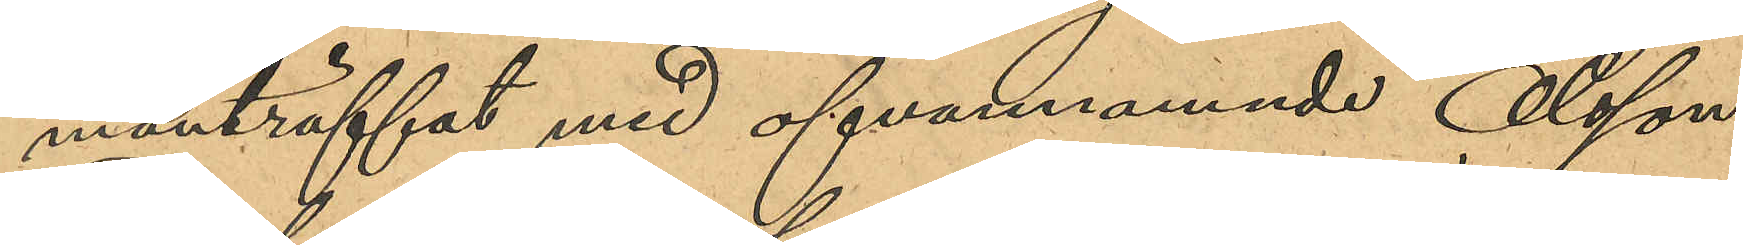manträffat med ofvannämnde Olsson,
